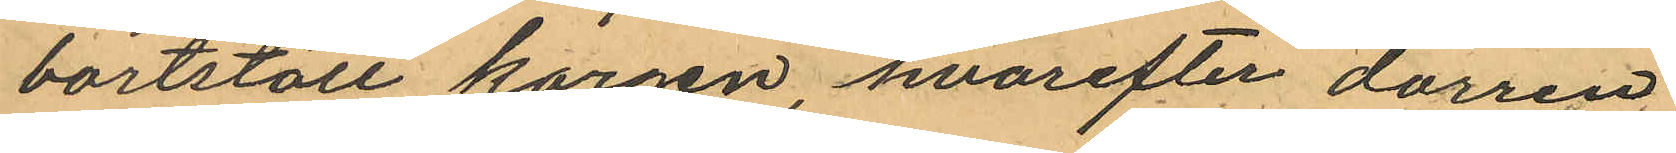bortstött korgen, hvarefter dörren
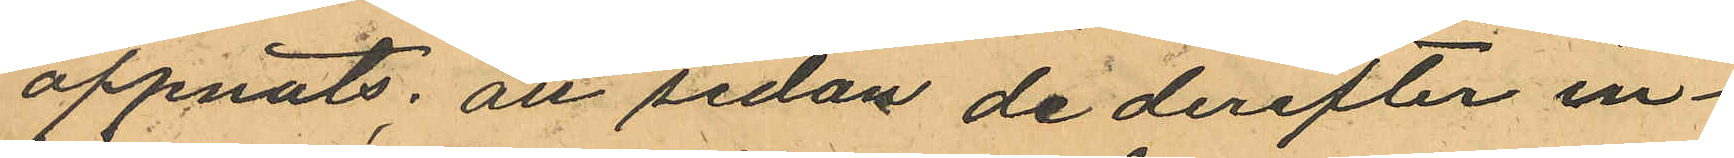öppnats; att sedan de derefter in¬
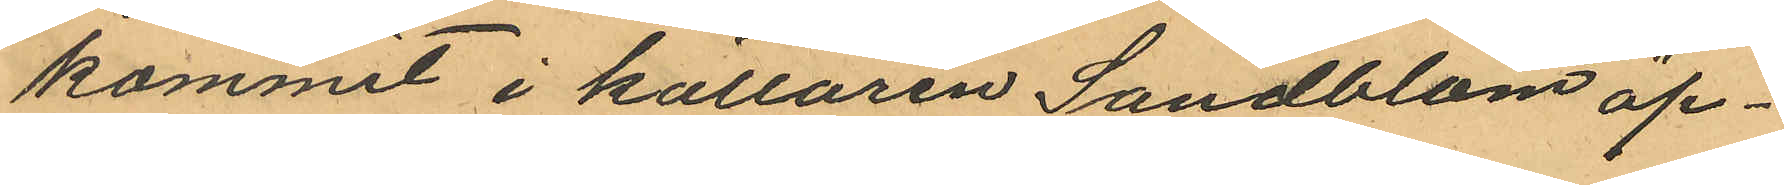kommit i källaren Sandblom öp¬
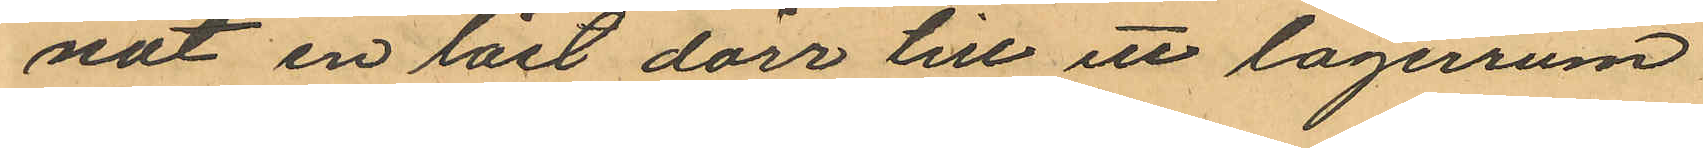nat en låst dörr till ett lagerrum
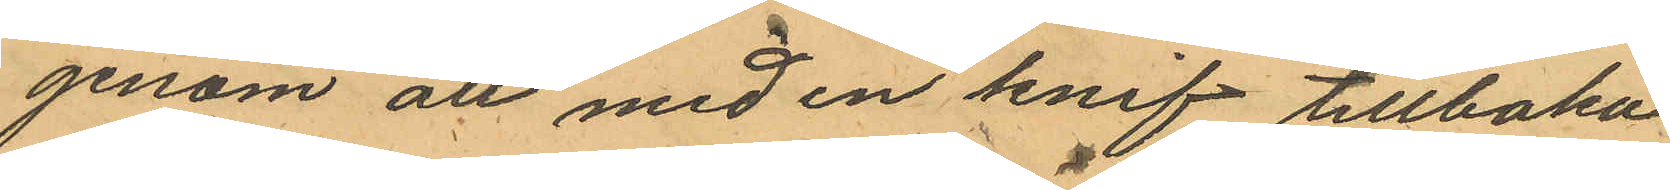genom att med en knif tillbaka
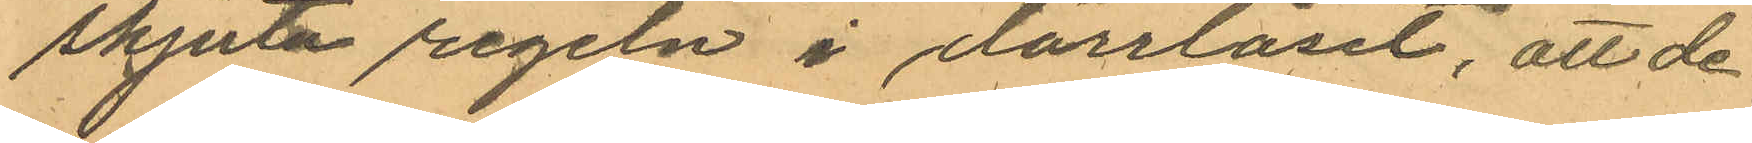skjuta regeln i dörrlåset; att de
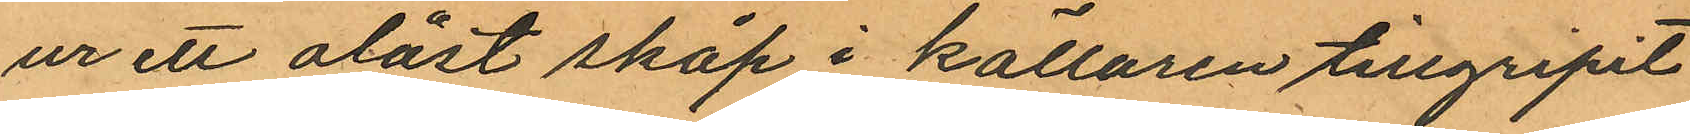ur ett olåst skåp i källaren tillgripit
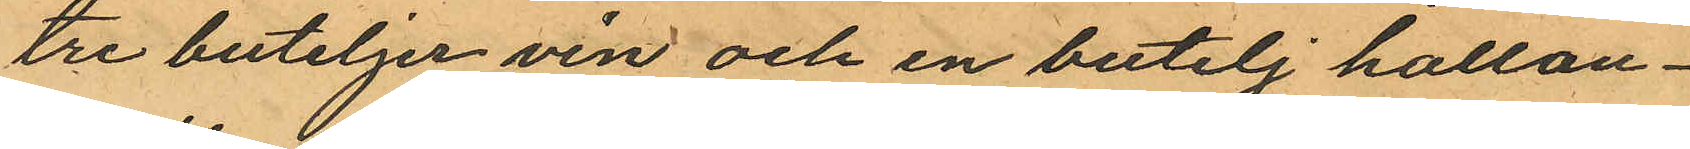tre buteljer vin och en butelj hallon¬
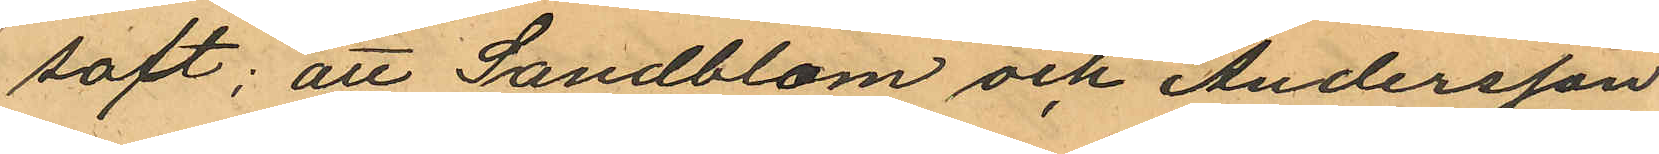saft; att Sandblom och Andersson
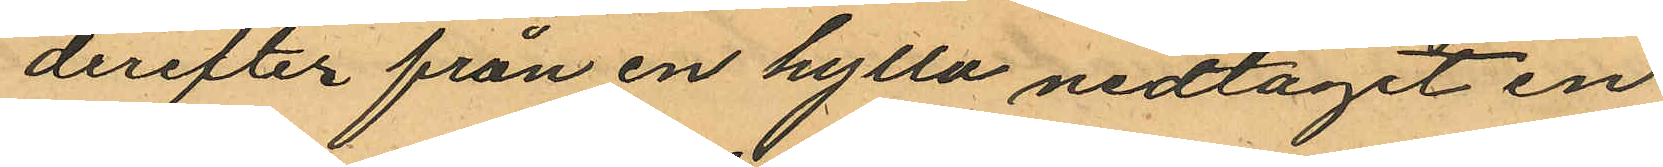derefter från en hylla nedtagit en
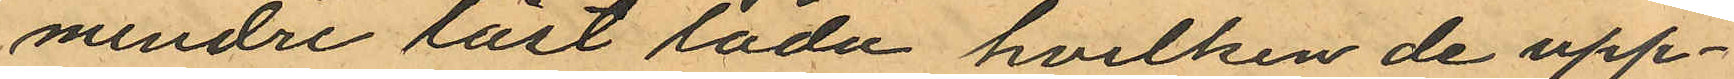mindre låst låda hvilken de upp¬
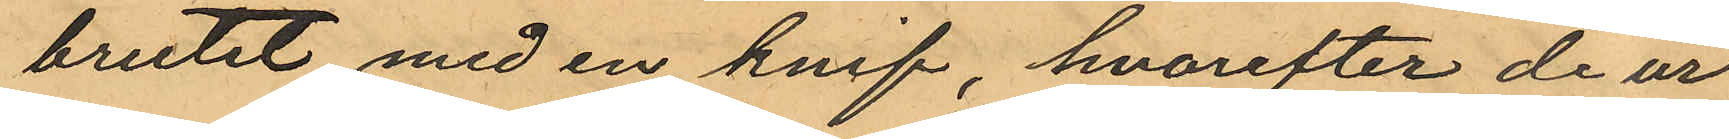brutit med en knif, hvarefter de ur
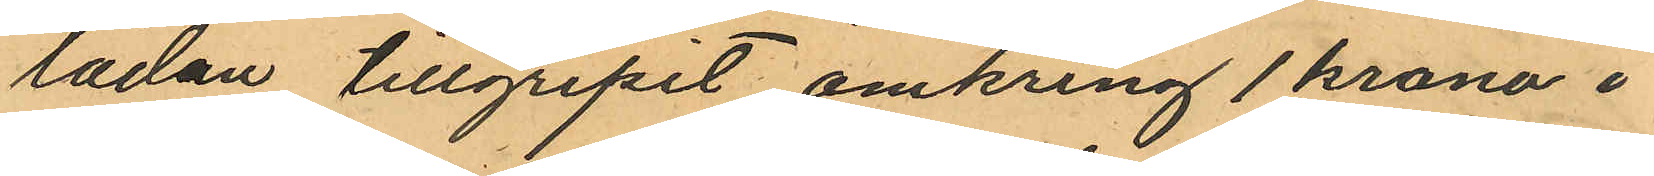lådan tillgripit omkring 1 krona i
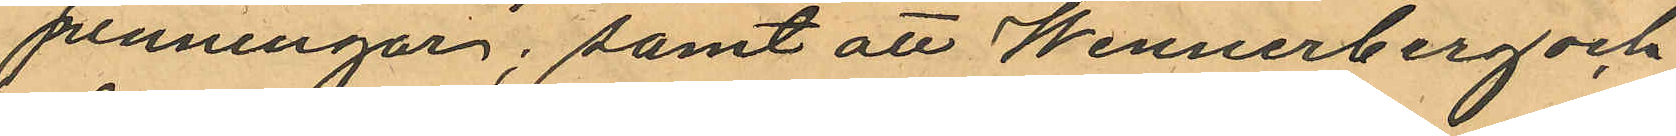penningar; samt att Wennerberg och
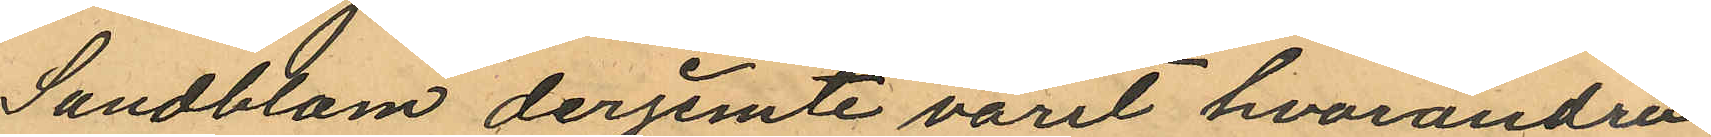Sandblom derjemte varit hvarandra
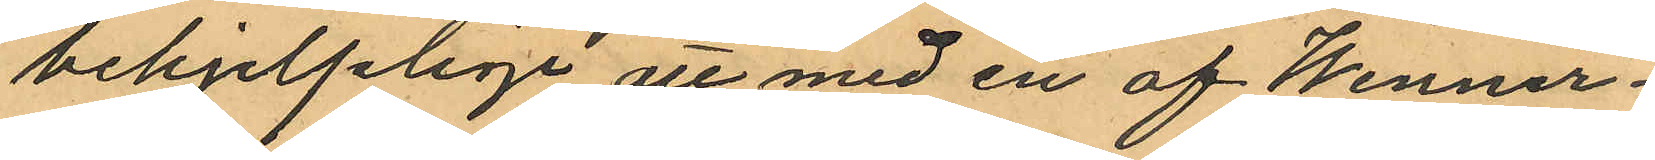behjelplige att med en af Wenner¬
